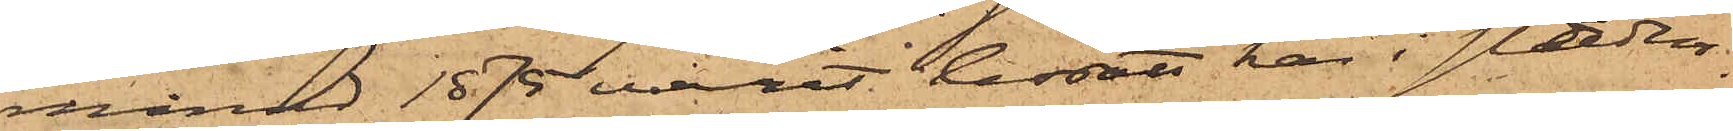månad 1875 varit bosatt här i staden
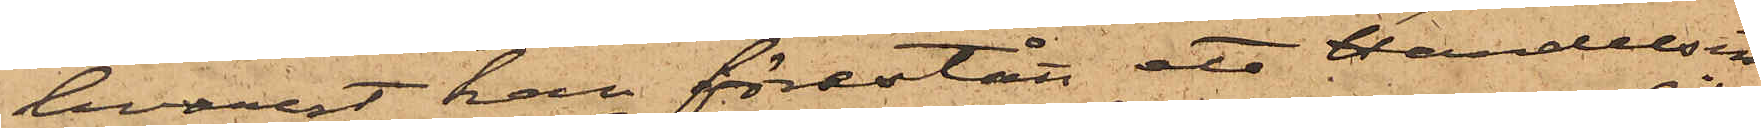hvarest han förestått ett Handelsin¬
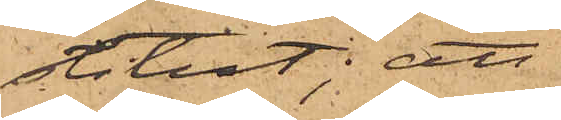stitut; att
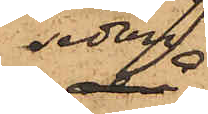sedan
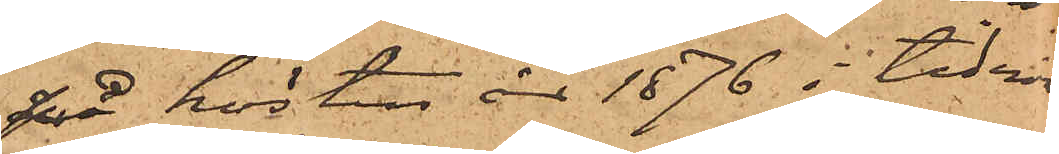på hösten år 1876 i tidnin¬
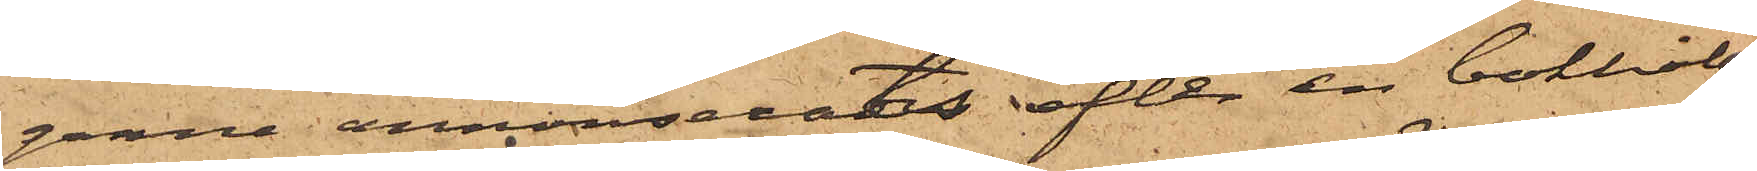garne annonserats efter en bokhålla¬
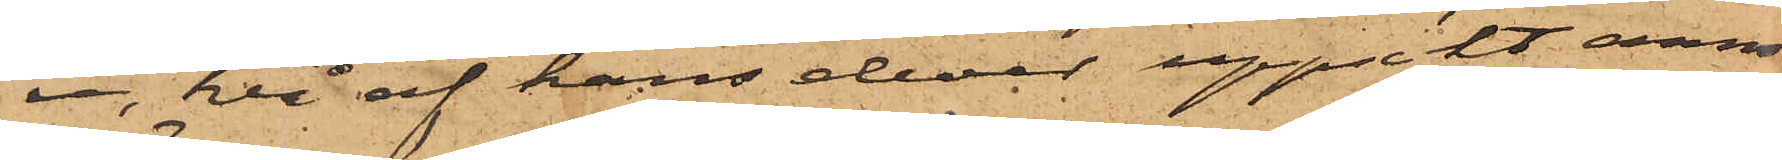re, två af hans elever uppsökt annon¬
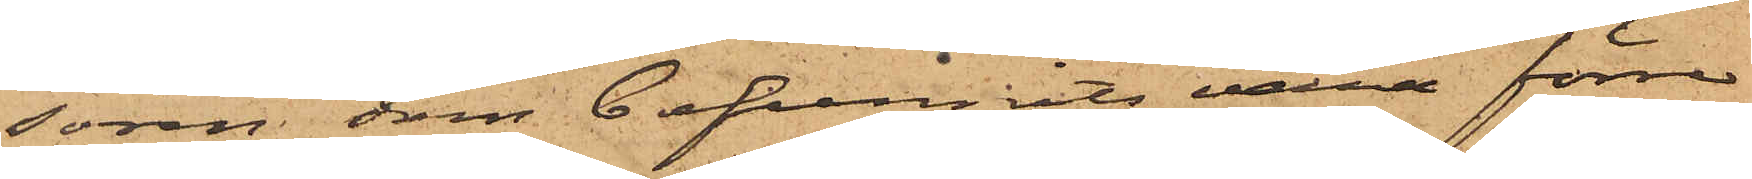sören, som befunnits vara förre
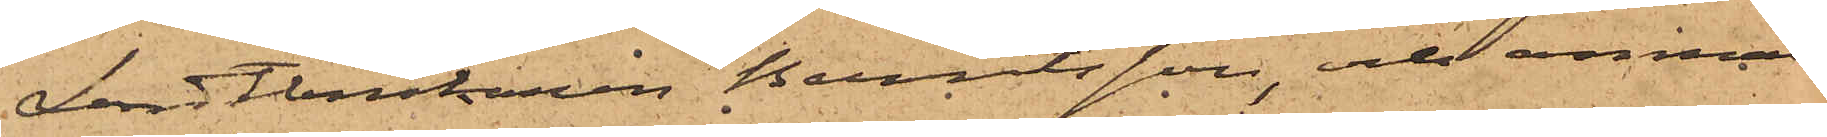Landtbrukaren Berntsson, och anmäldt
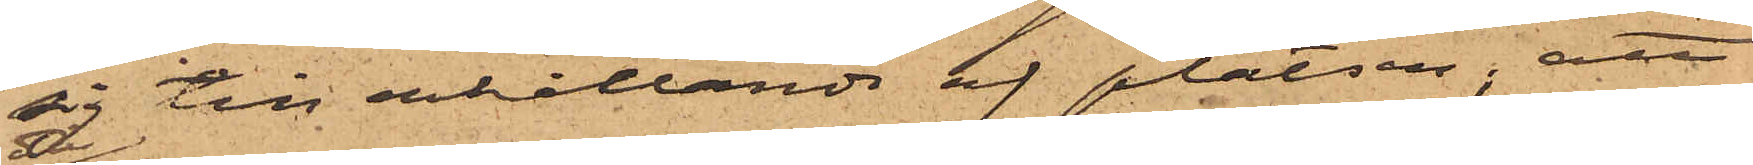sig till erhållande af platsen; att
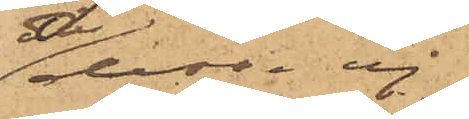då dessa ej
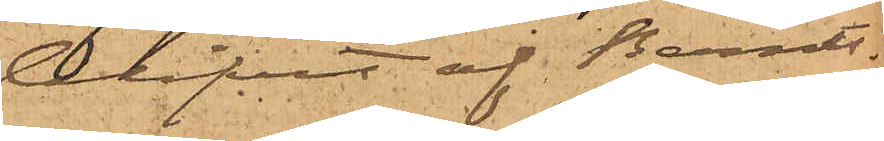blifvit af Bernts¬
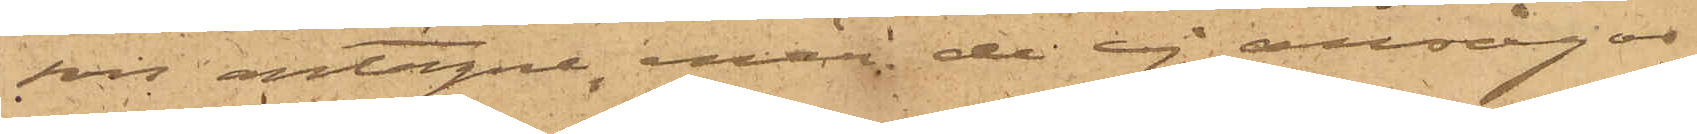son antagne, enär de ej ansågos
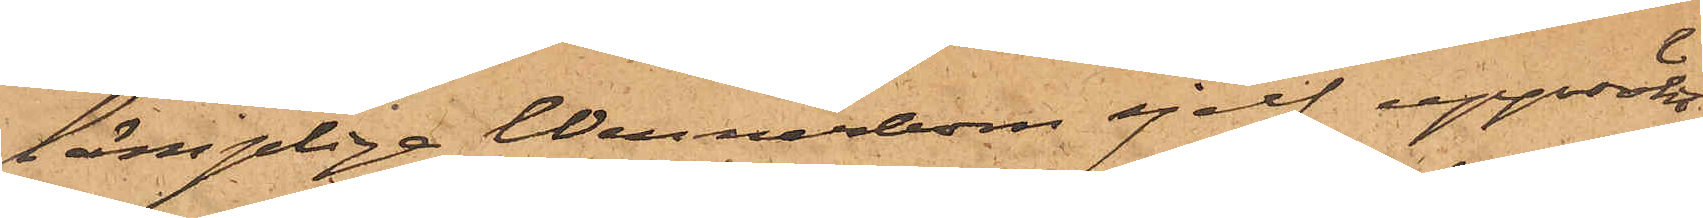lämpliga Wennerbom sjelf uppsökt
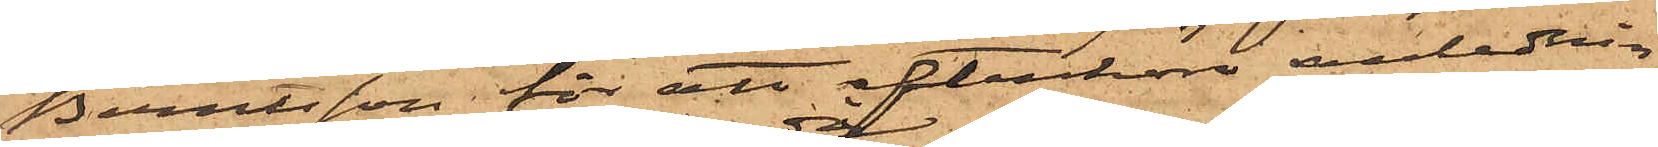Berntsson för att efterhöra anlednin¬
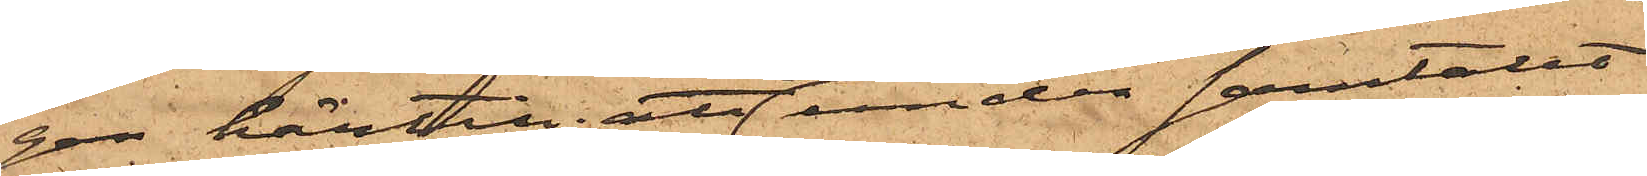gen härtill; att under samtalet
